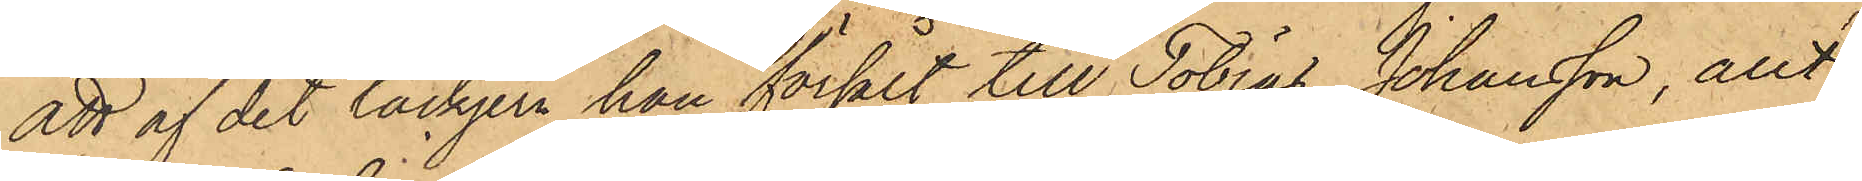Att af det tackjern han försålt till Tobias Johansson, allt
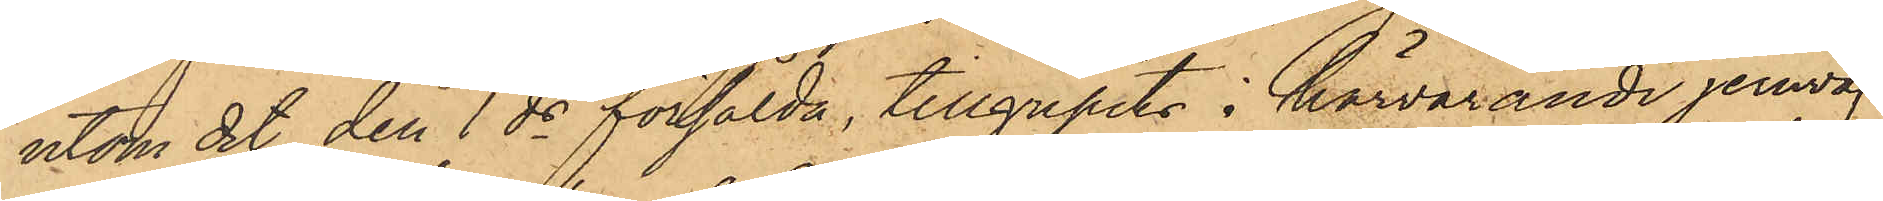utom det den 1 ds försålda, tillgripits i härvarande jernvåg
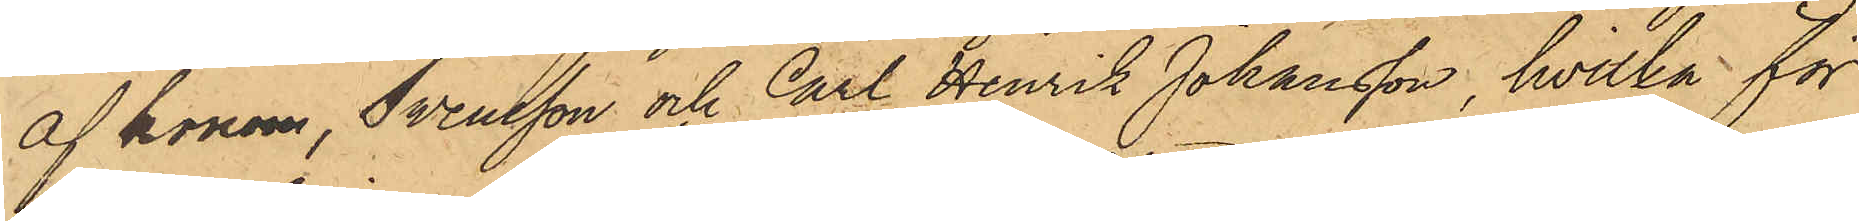af honom, Swensson och Carl Henrik Johansson, hvilka för
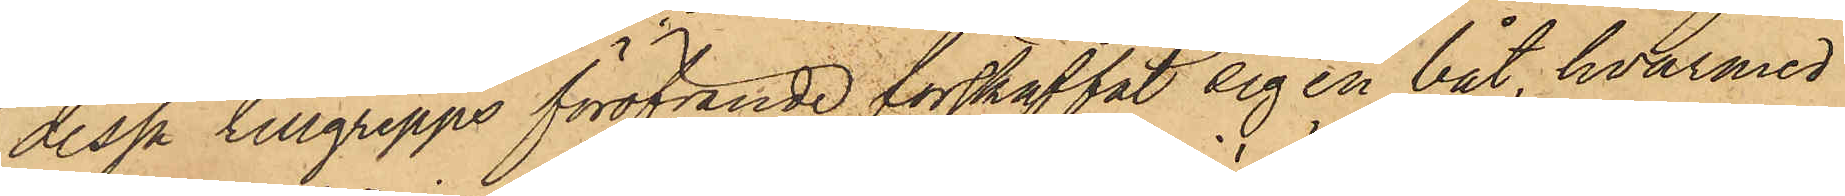dessa tillgrepps föröfvande förskaffat sig en båt, hvarmed
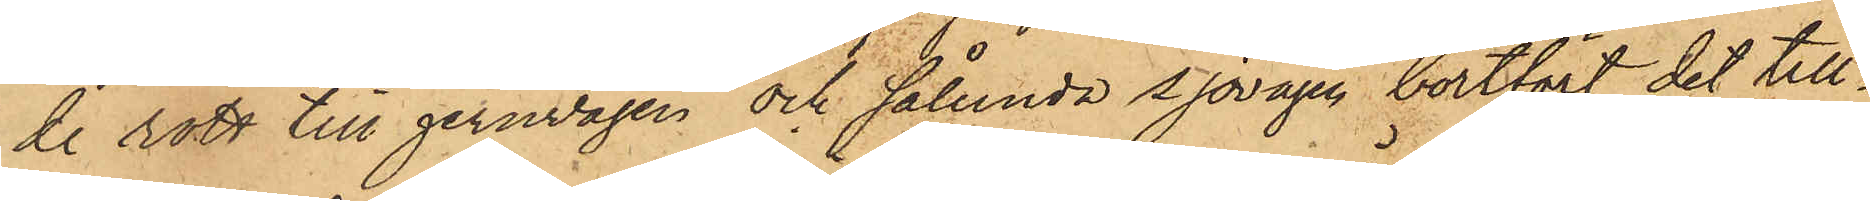de rott till jernvågen och sålunda sjövägen bortfört det till¬
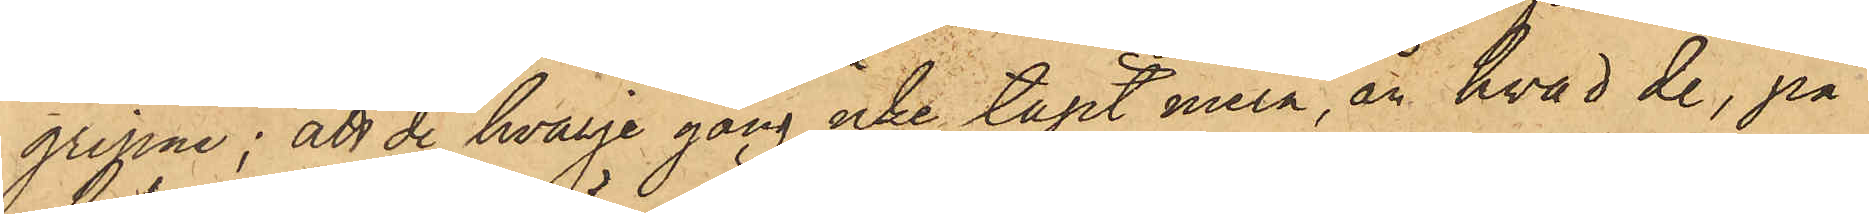gripne; att de hvarje gång icke tagit mera, än hvad de, på
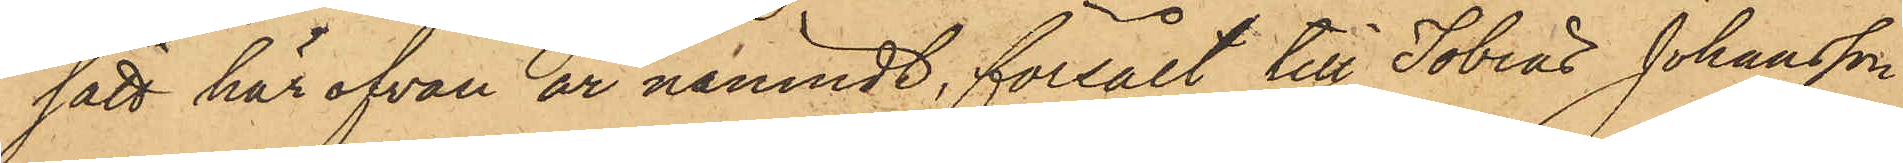sätt här ofvan är nämndt, försålt till Tobias Johansson
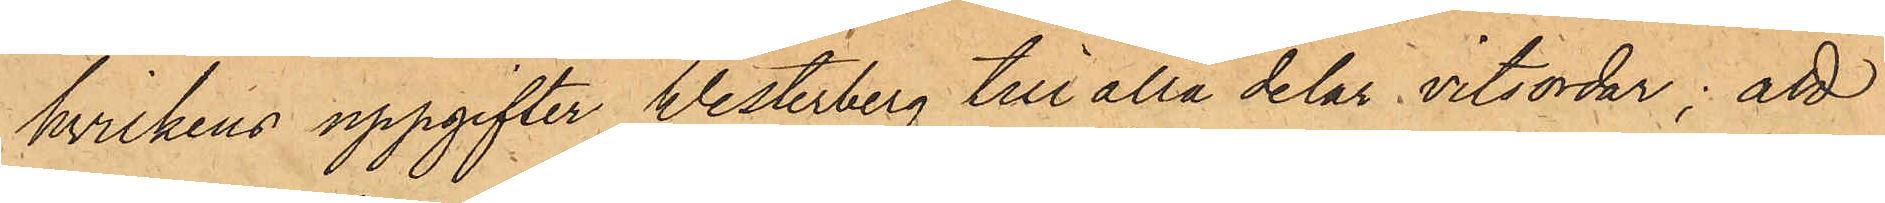hvilkens uppgifter Westerberg till alla delar vitsordar; att
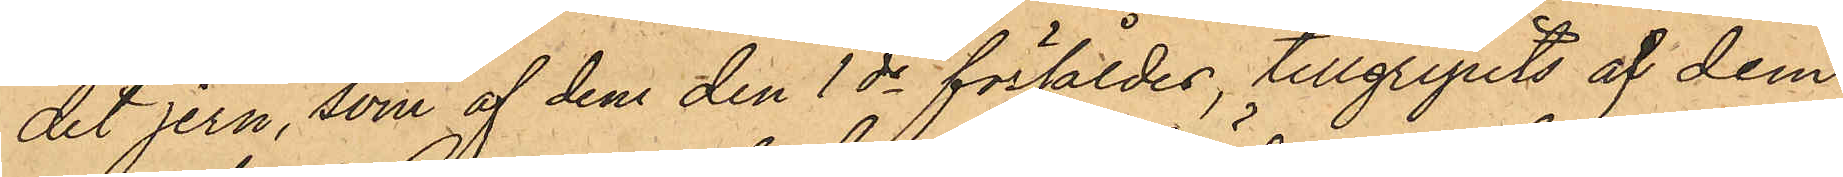det jern, som af dem den 1 ds försåldes, tillgripits af dem
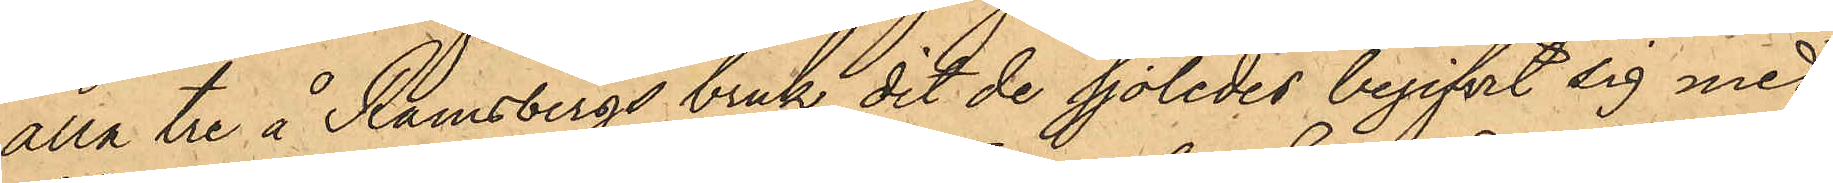alla tre å Ramsbergs bruk, dit de sjöledes begifvit sig med
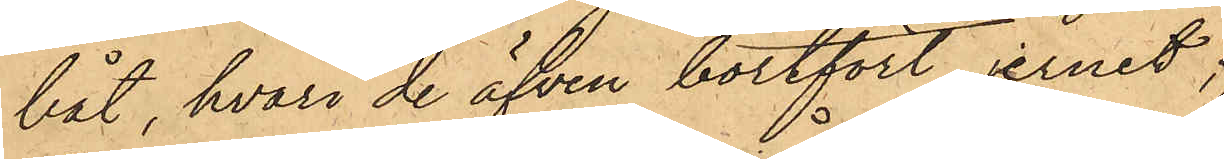båt, hvari de äfven bortfört jernet;
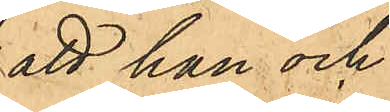att han och
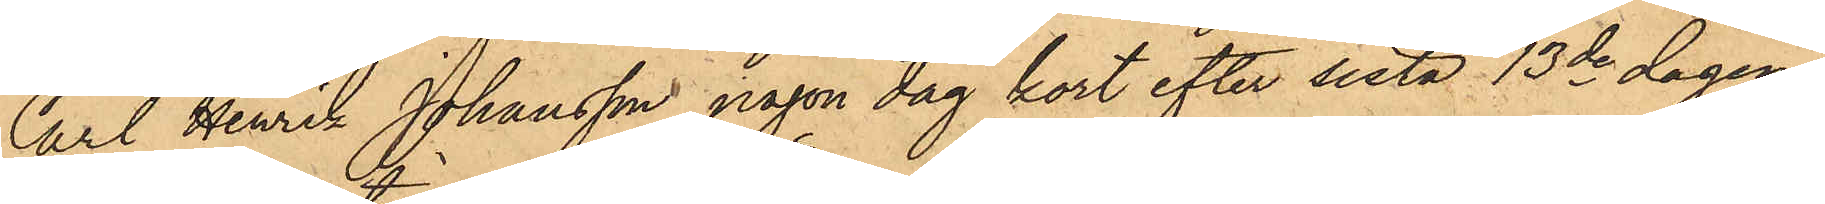Carl Henrik Johansson någon dag kort efter sista 13de dagen i
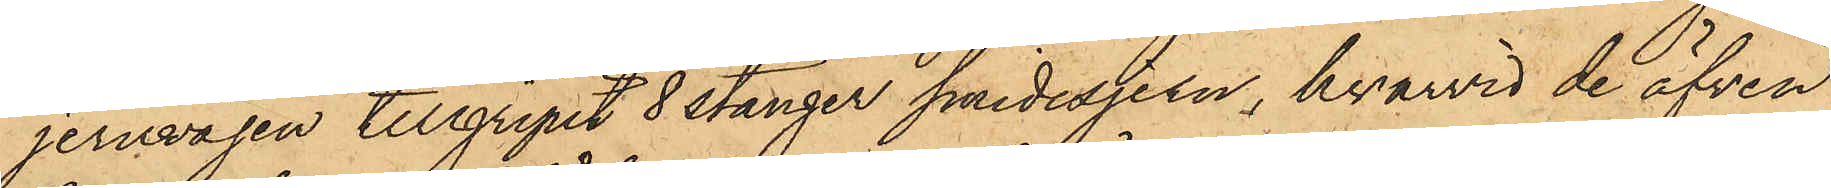jernvågen tillgripit 8 stänger smidesjern, hvarvid de äfven
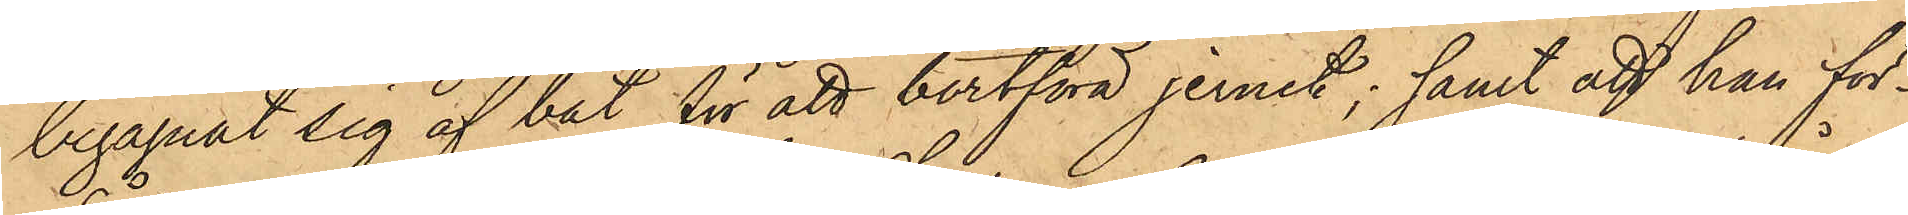begagnat sig af båt för att bortföra jernet; samt att han för¬
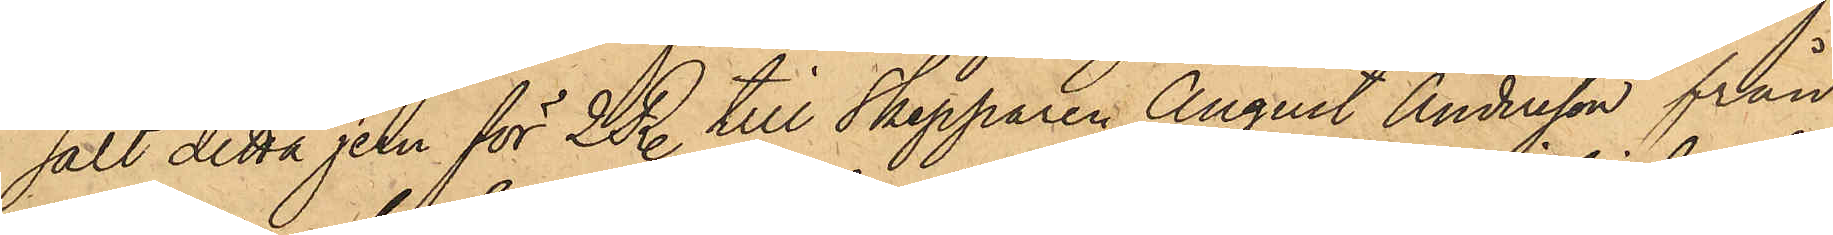sålt detta jern för 2 R. till Skepparen August Andersson från
